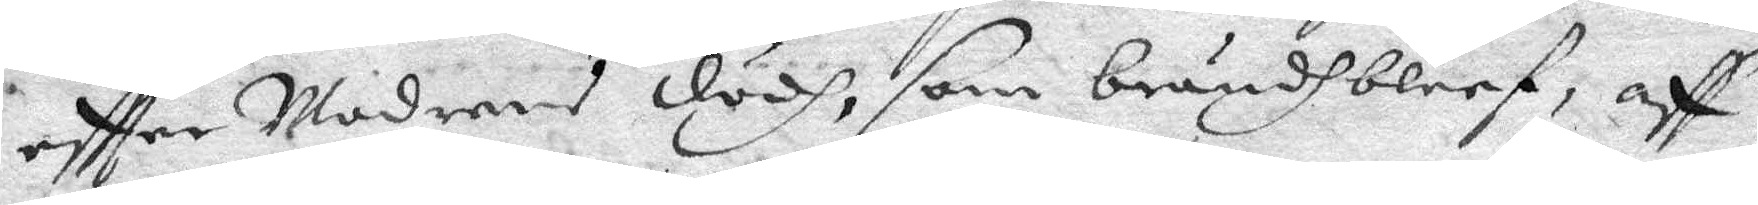eftter Moderns dödh, som brändh bleef, aff
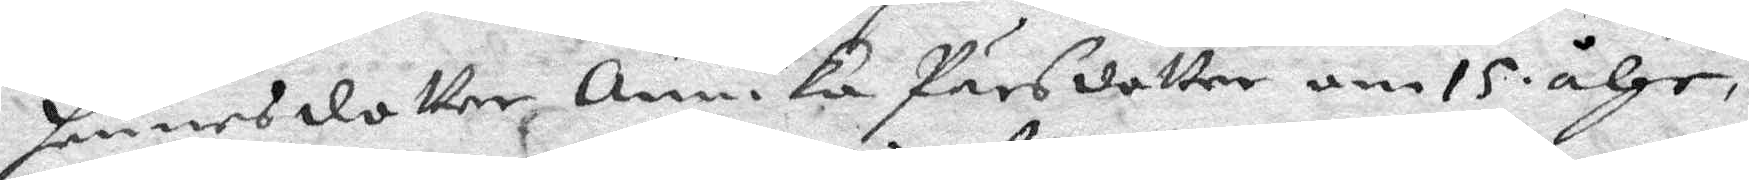henne sdotter Annika Pärsdotter om 15 åhr,
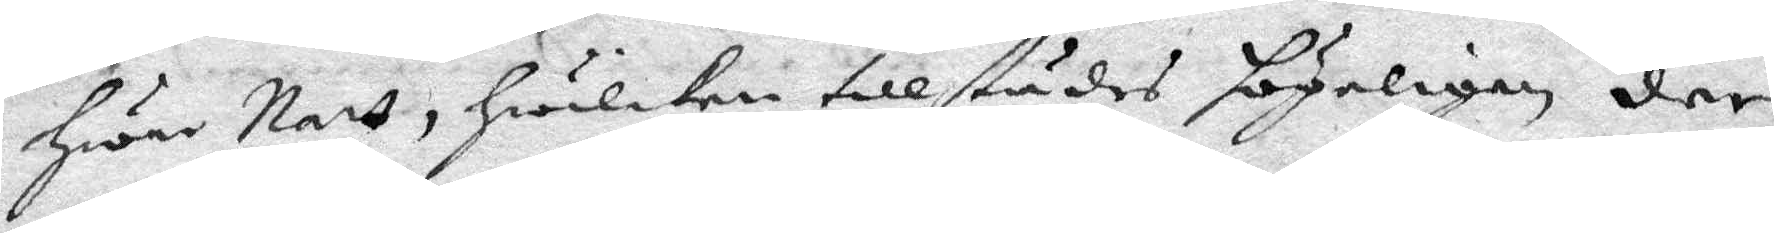Hwar Natt, Hwilken tillstädes högeligen der
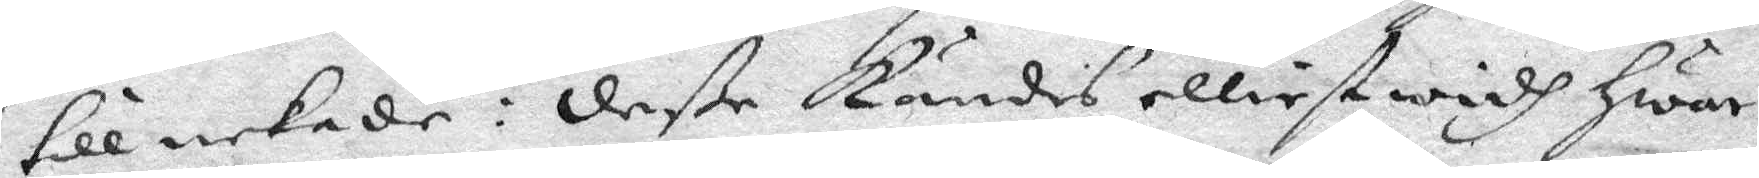till nekade: deße kändes elliest widh Hwar¬
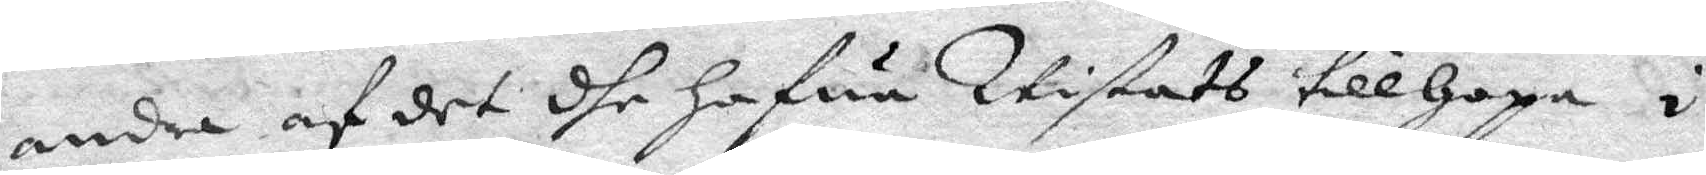andra af det dhe hafwa Vistats tillhopa i
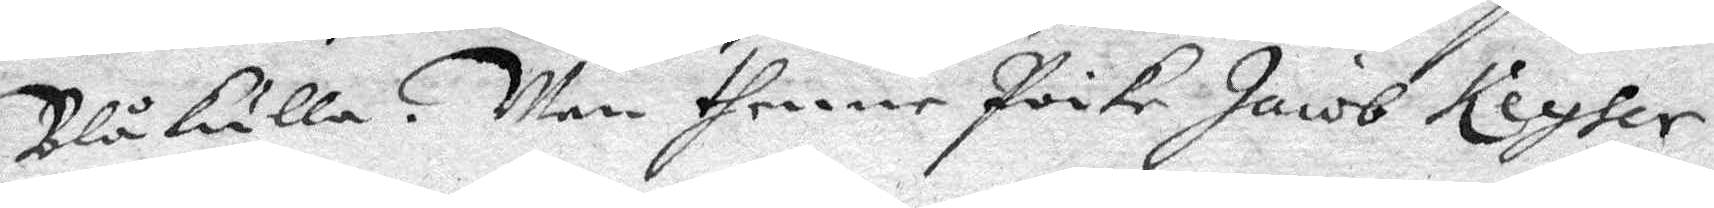Blåkulla. Men thenne Poike Jacob Keyher 
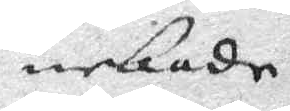nekade
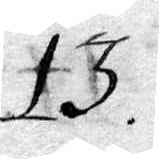13.
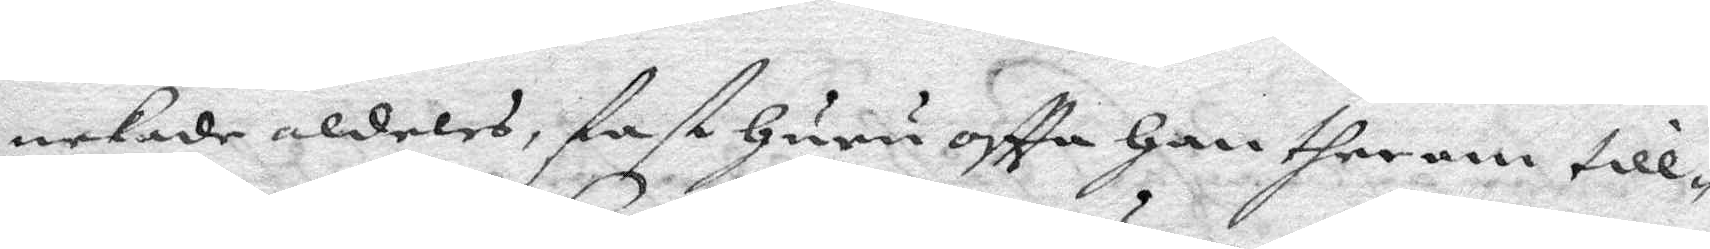nekade aldels, fast Huru oftta Han therom till¬
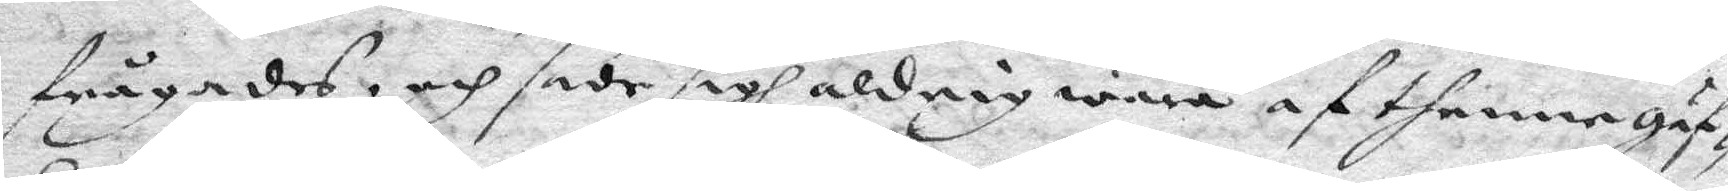frågades och sade sig aldrig wara af thenne gäf¬
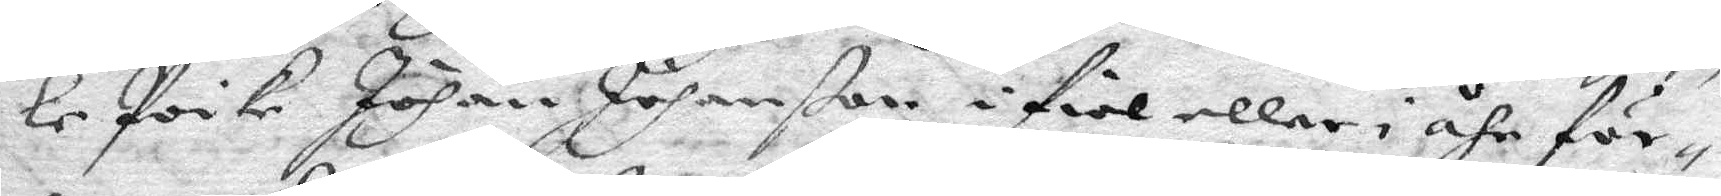le Poike Johan Johanßon i fiol eller i åhr för¬
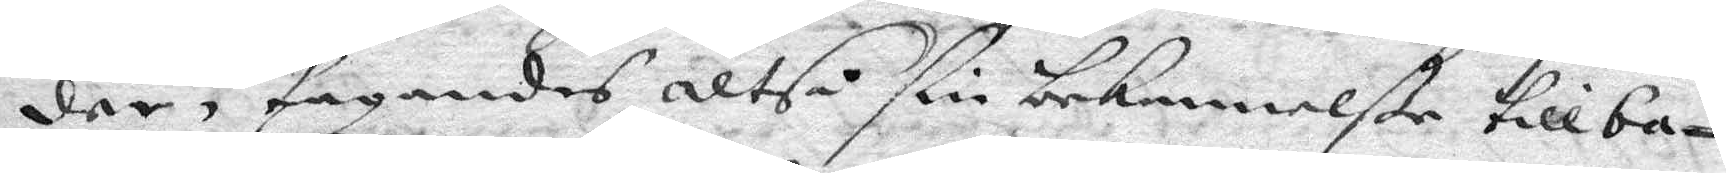der, tagandes altså ßin bekennelße tillba¬
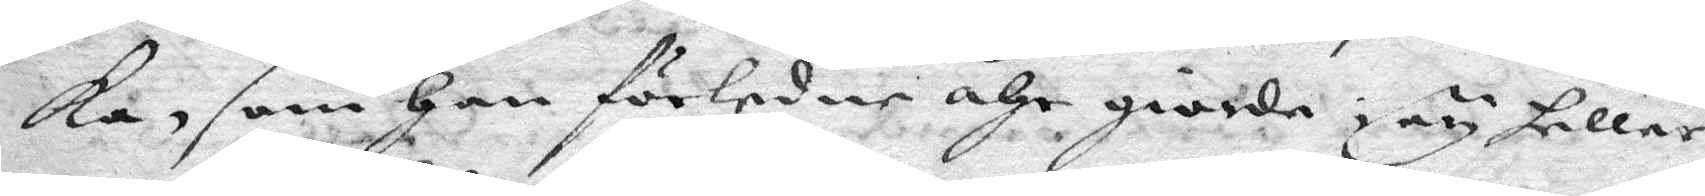ka, som Han förledne åhr giorde, ey heller
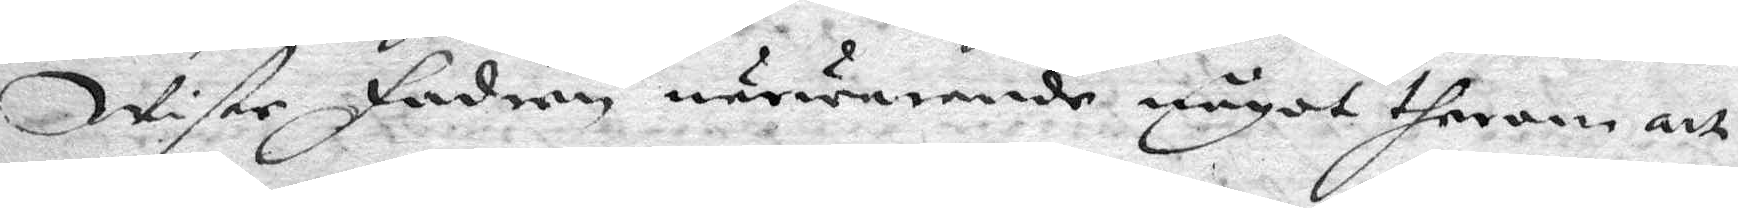wiste fadren närwarande något therom att
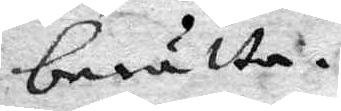berätta.
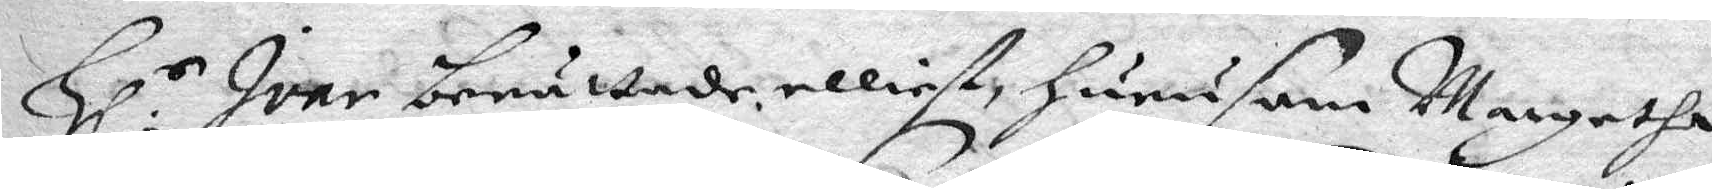Hl.r Ivar berättade elliest hurusom Margetha
